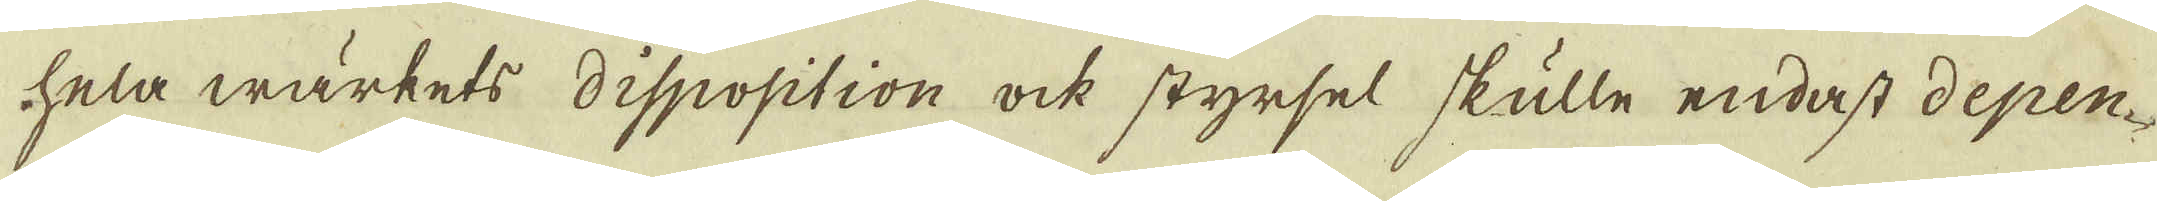hela wärkets disposition ock styrsel skulle endast depen-
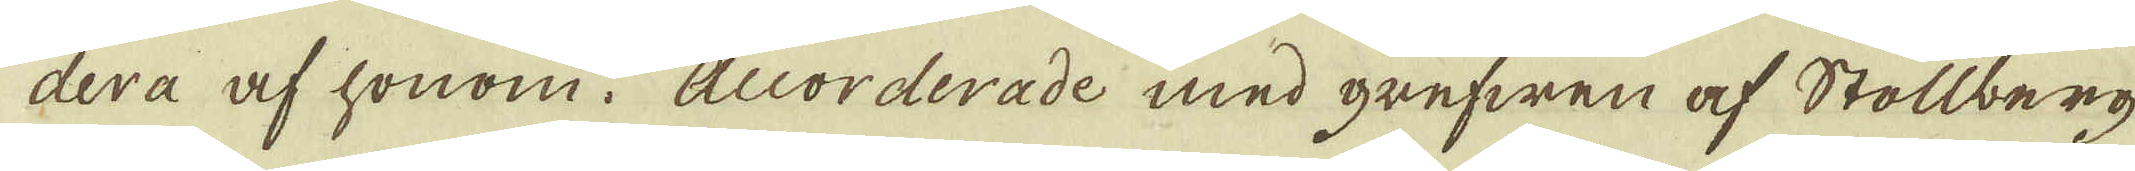dera af honom. Accorderade med grefwen af Stollberg
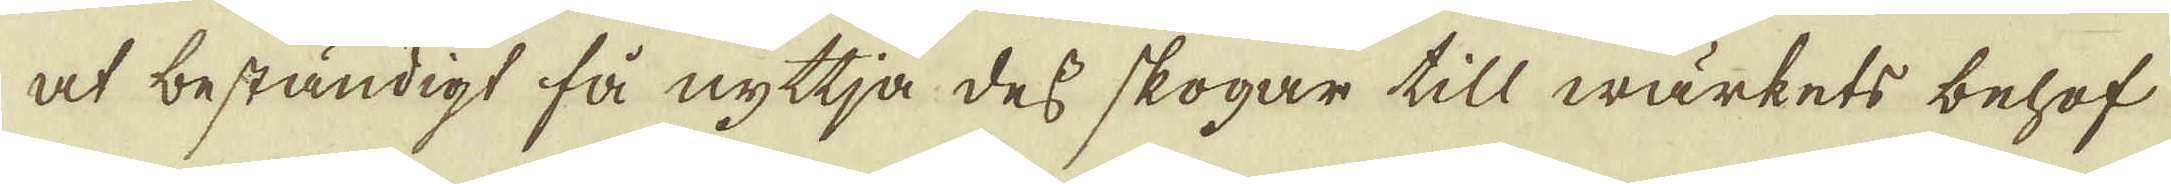at beständigt få nyttja dess skogar till wärkets behof
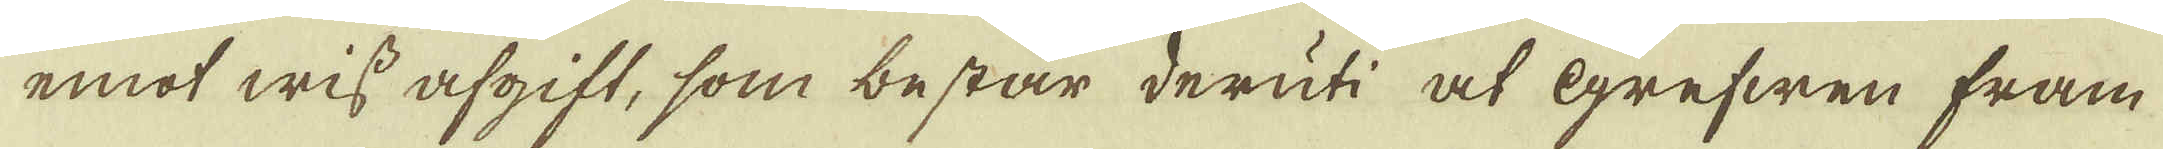emot wiss afgift, som består deruti at Grefwen fram-
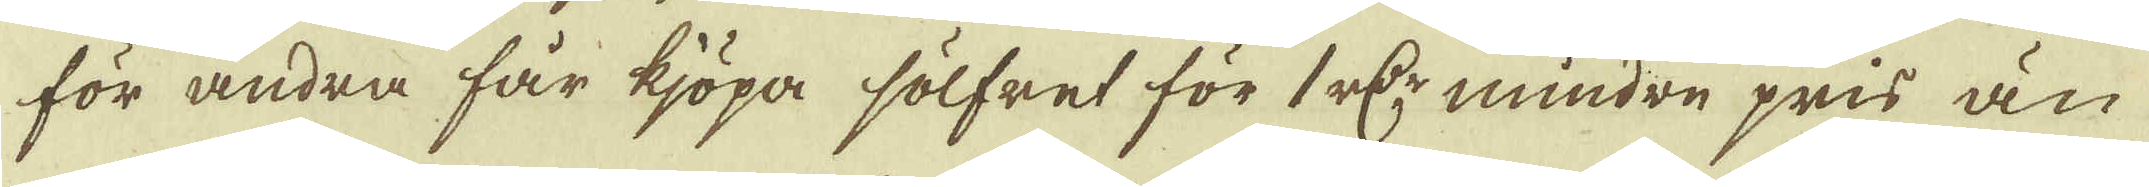för andra får kjöpa sölfret för 1 r:dr mindre pris än
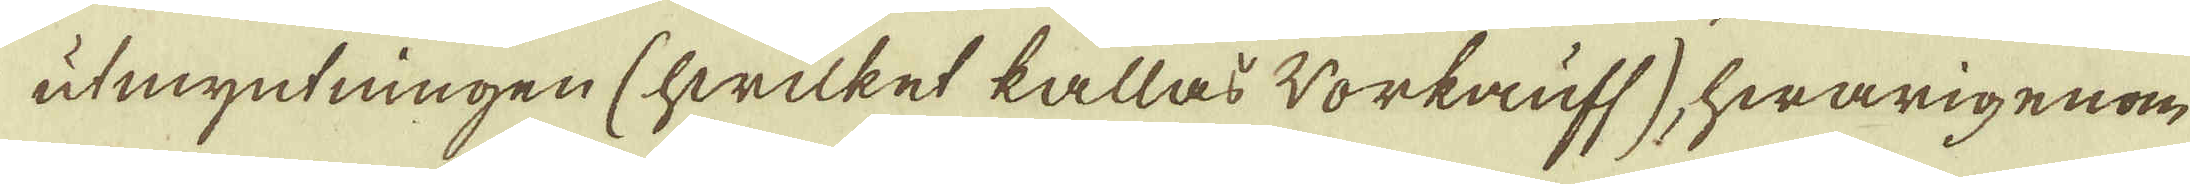utmyntningen (hwilket kallas Workauff), hwarigenom
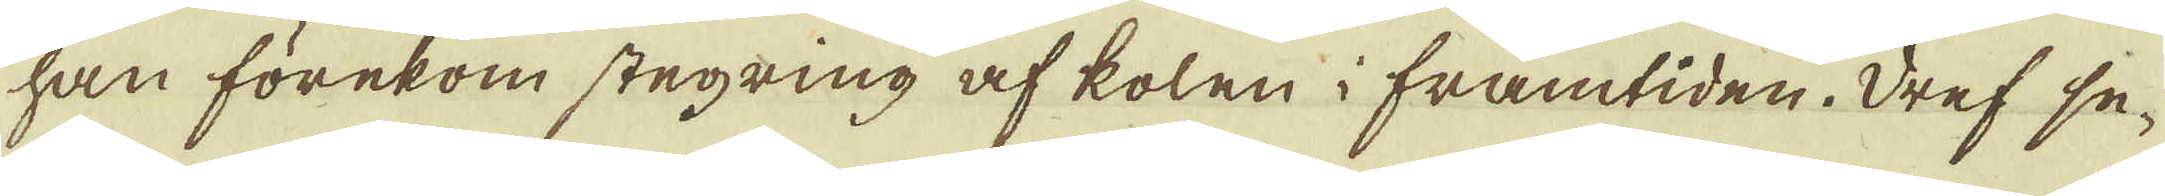han förekom stegring af kolen i framtiden. Dref se-
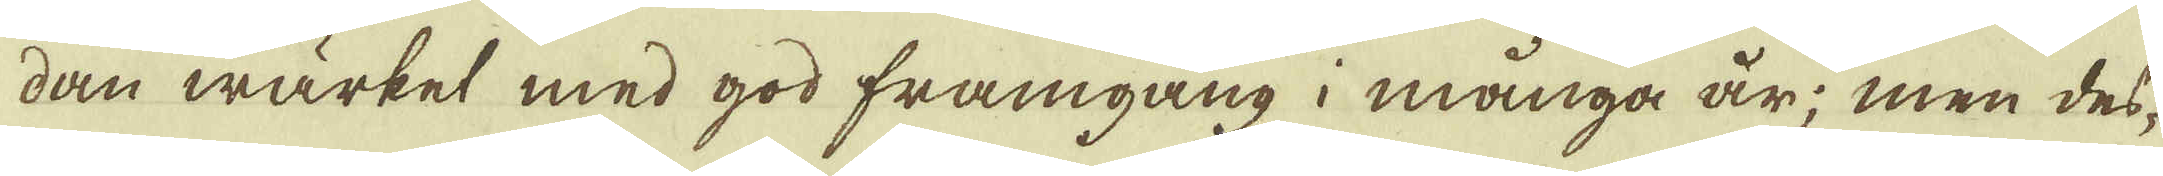dan wärket med god framgång i många år; men des-
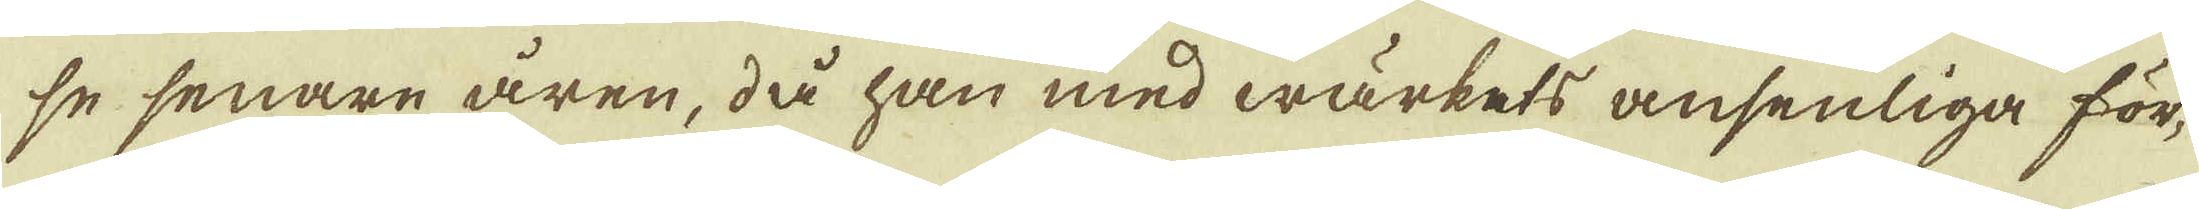se senare åren, då han med wärkets ansenliga för-
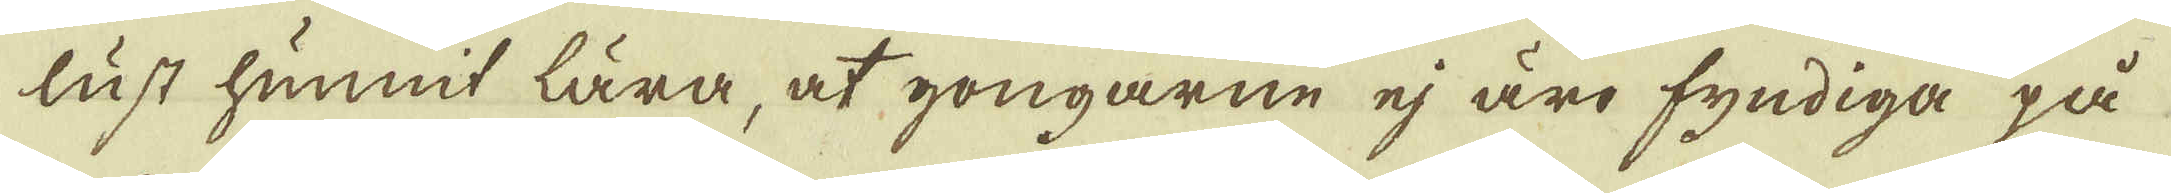lust hunnit lära, at gongarne ej äro fyndiga på
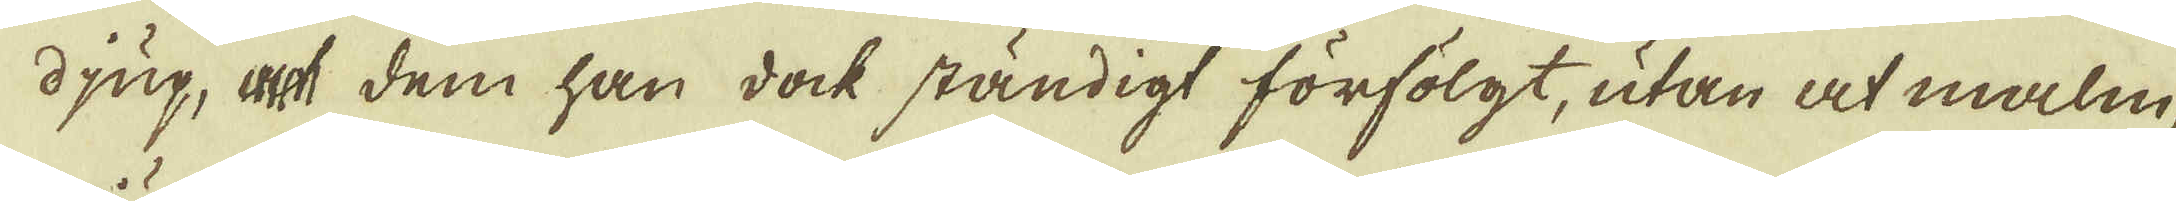djup, at dem han dock ständigt förfölgt, utan at malm-
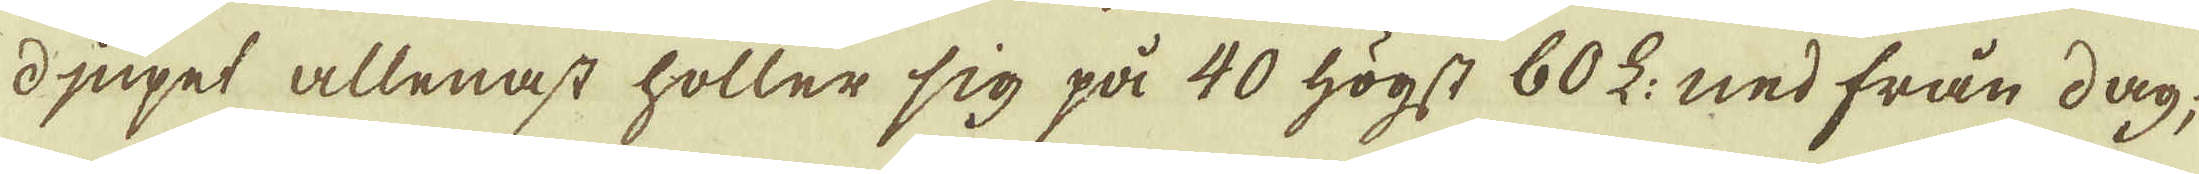djupet allenast håller sig på 40 högst 60 L: ned från dag;
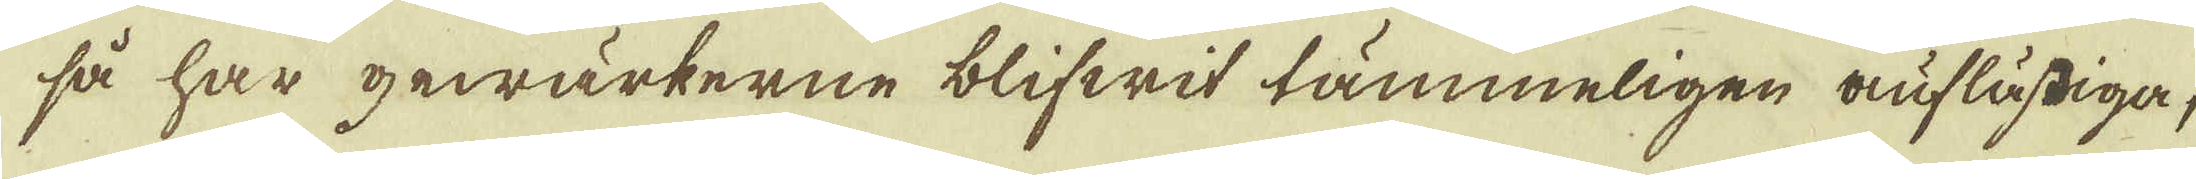så har gewärkerne blifwit tämmeligen auflästiga,
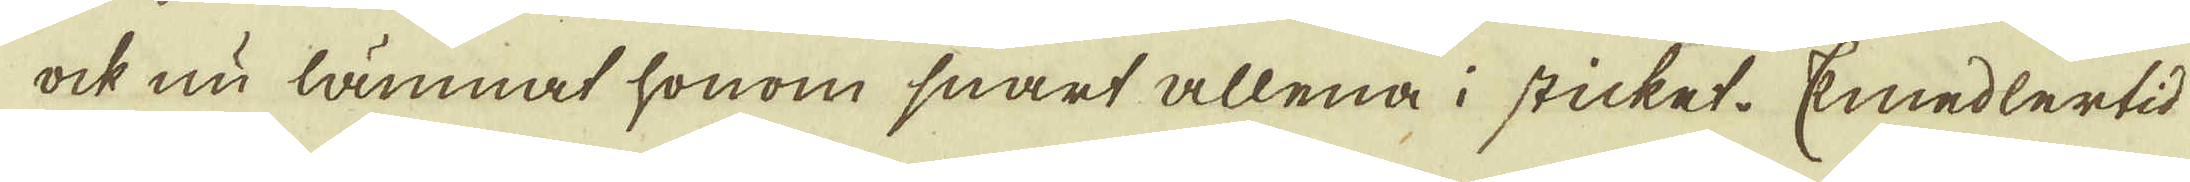ock nu lämnat honom snart allena i sticket. Emedlertid
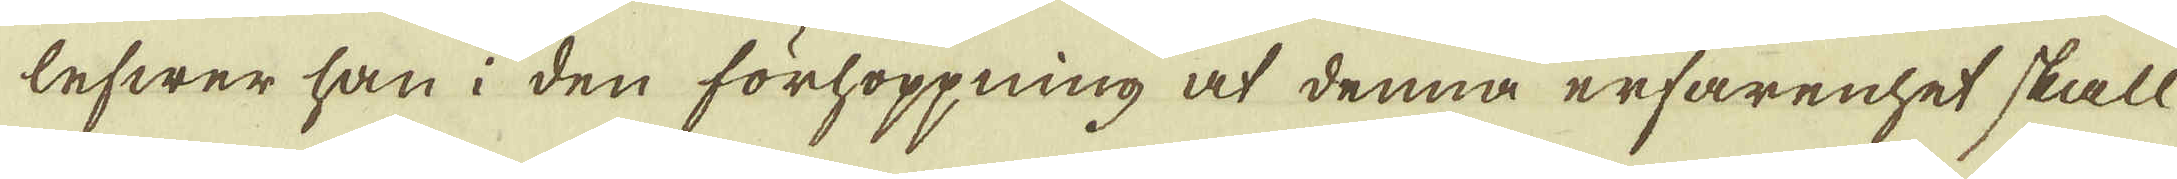lefwer han i den förhoppning at denna erfarenhet skall
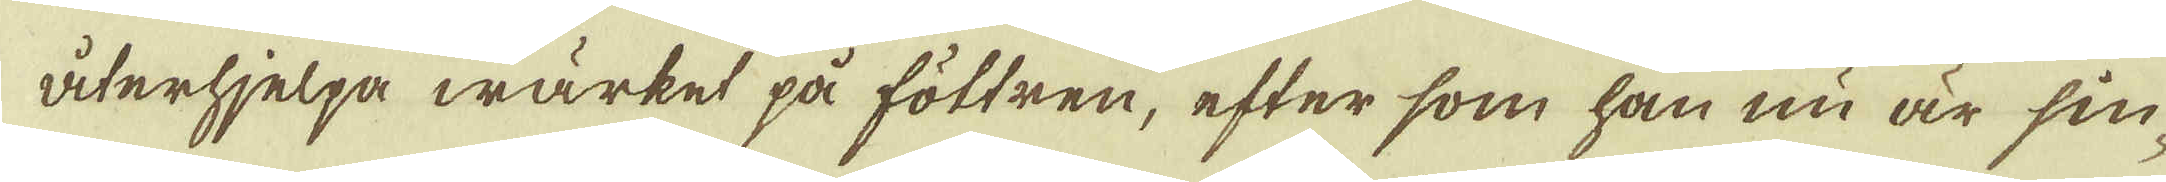återhjelpa wärket på föttren, efter som han nu är sin-
